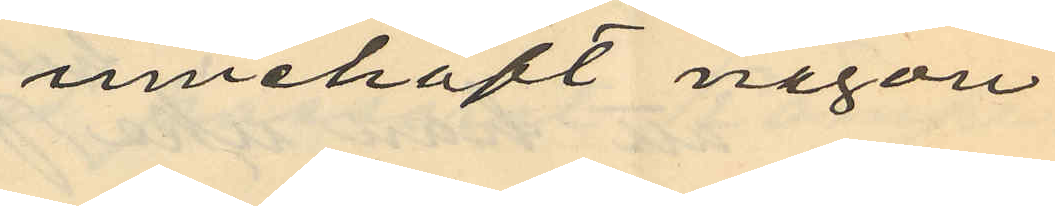innehaft någon
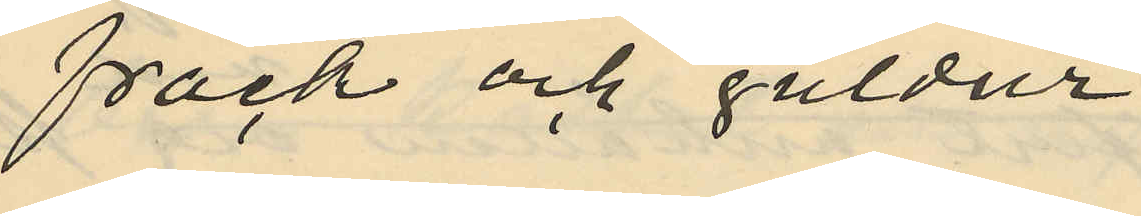frack och guldur;
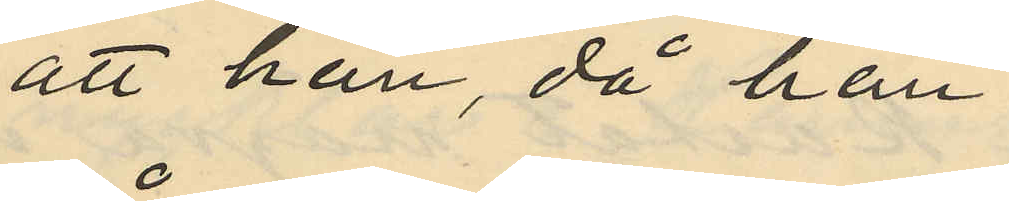att han, då han
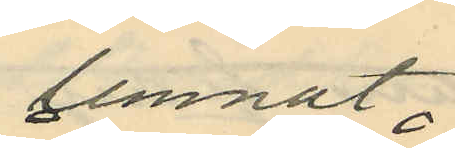lemnat
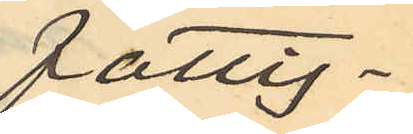fattig¬
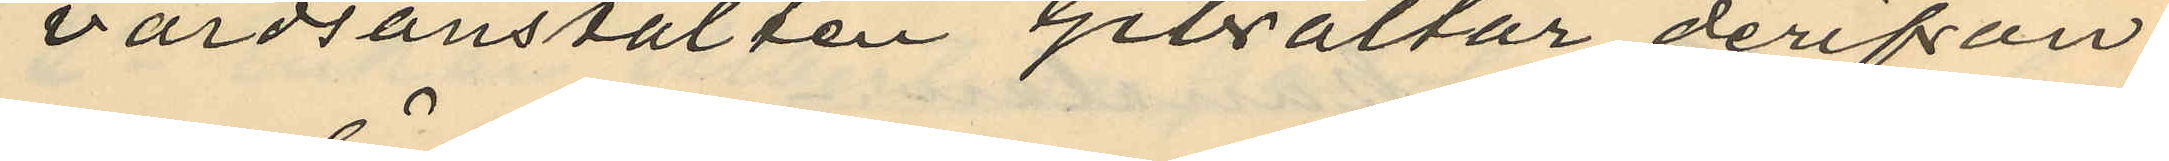vårdsanstalten Gibraltar derifrån
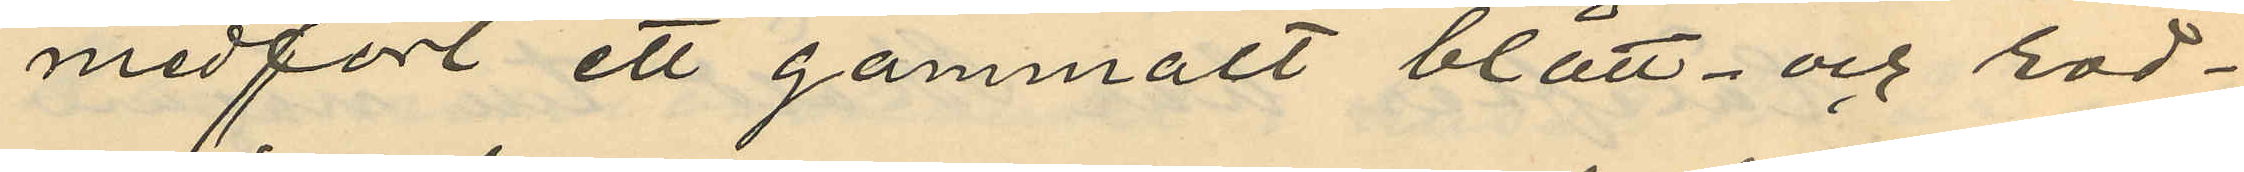medfört ett gammalt blått- och röd¬
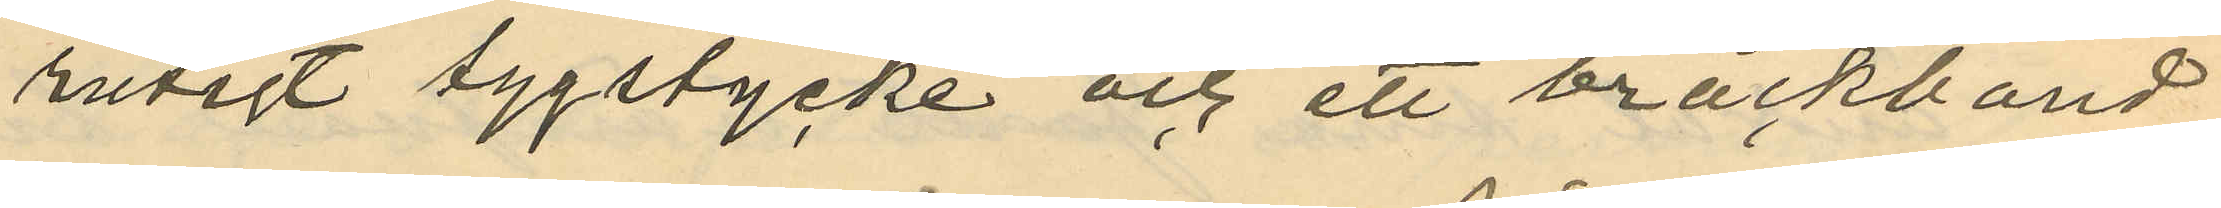rutigt tygstycke och ett bråckband
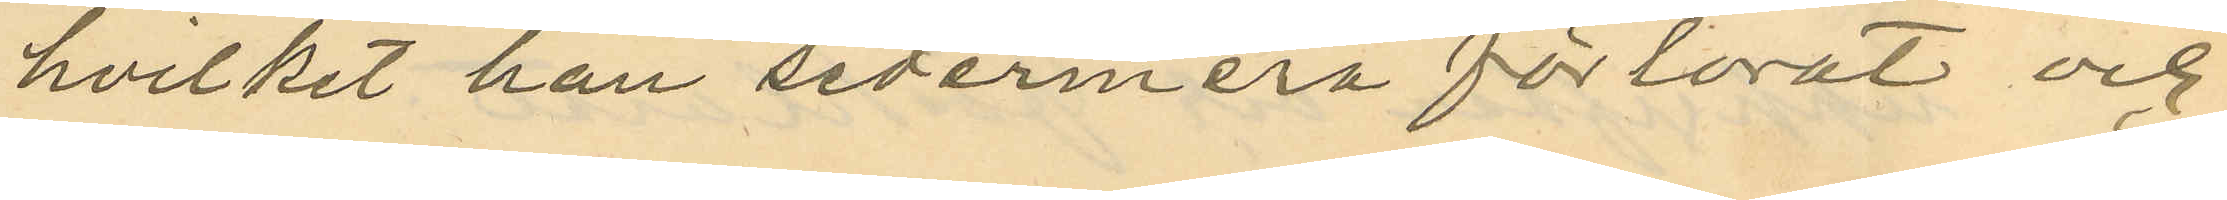hvilket han sedermera förlorat och
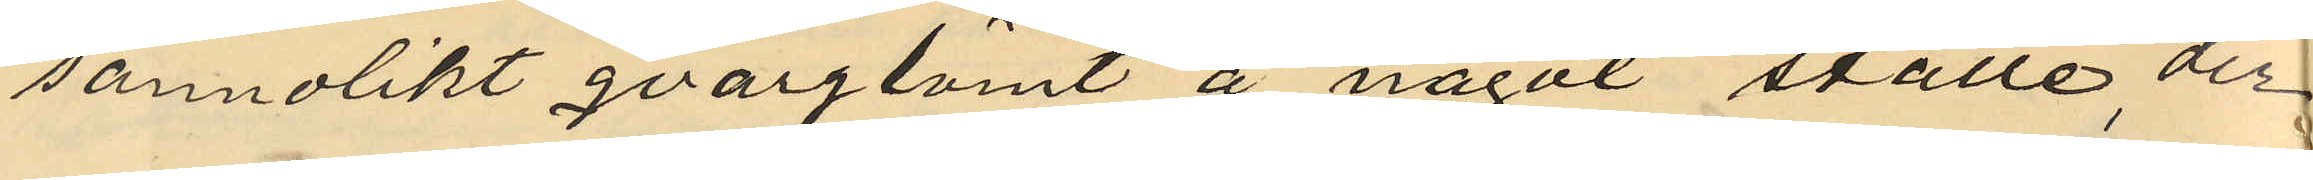sannolikt qvarglömt å något ställe der
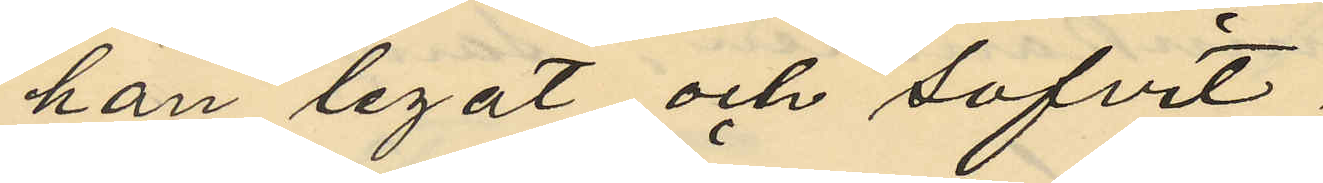han legat och sofvit;
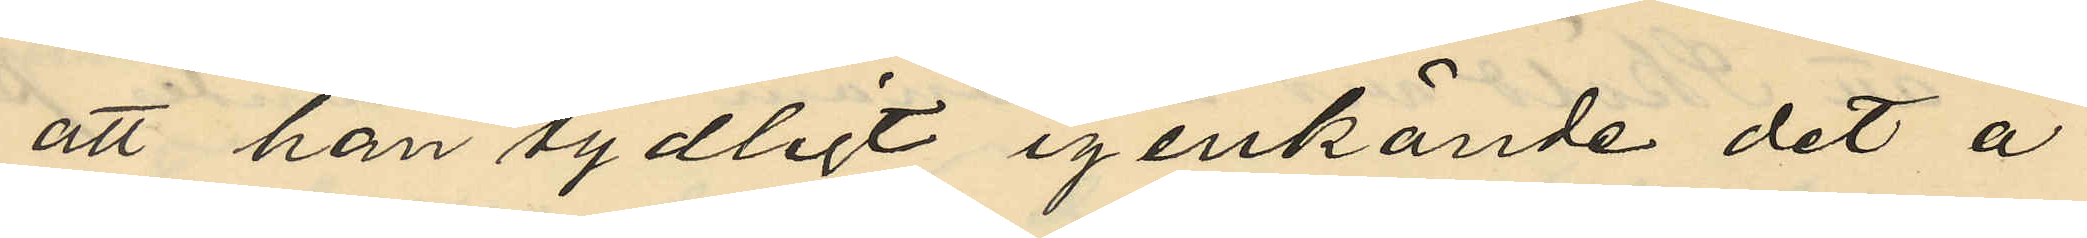att han tydligt igenkände det å
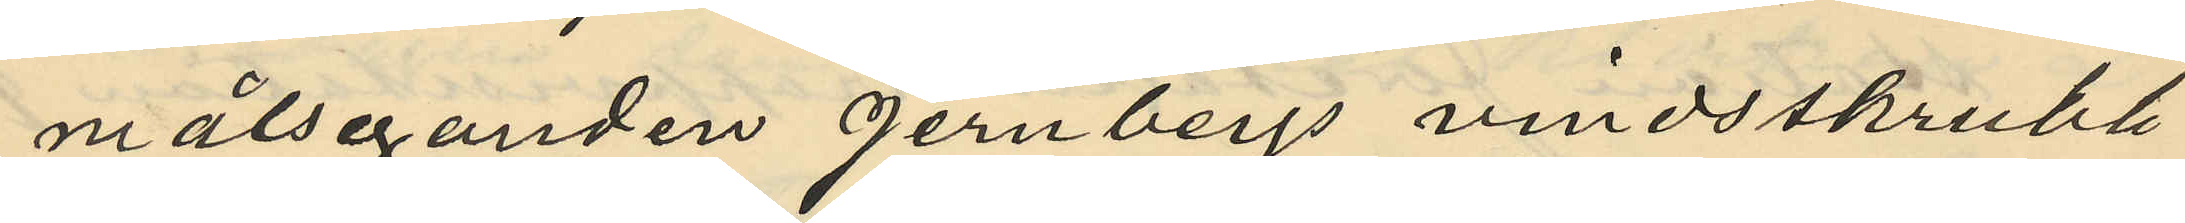målseganden Jernbergs vindsskrubb
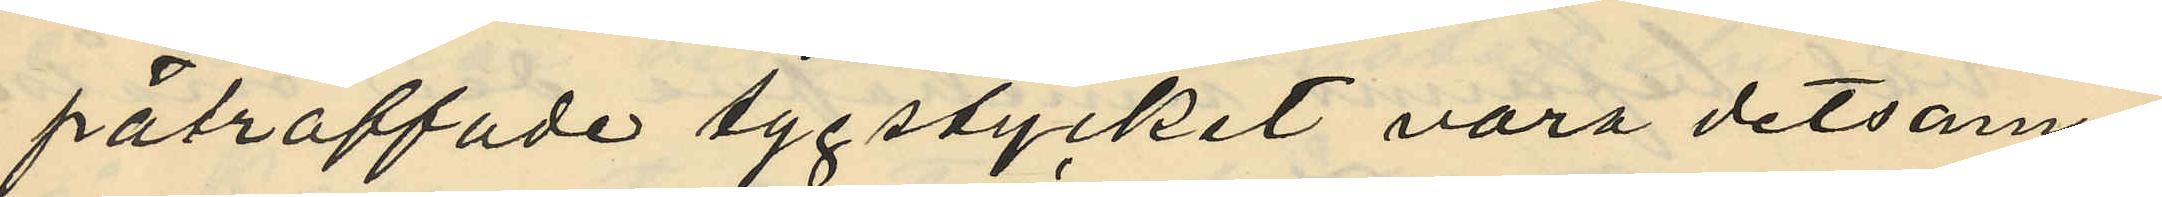påträffade tygstycket vara detsam¬
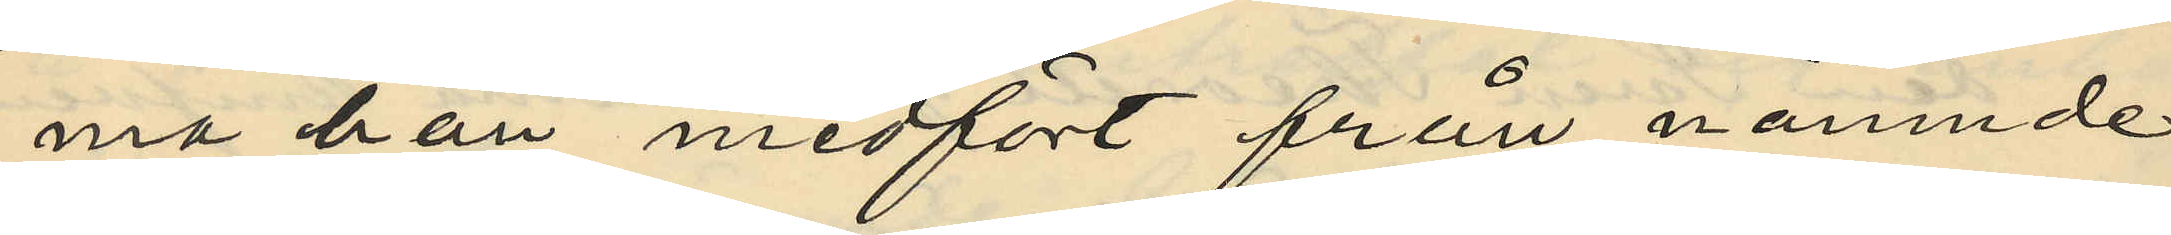ma han medfört från nämnde
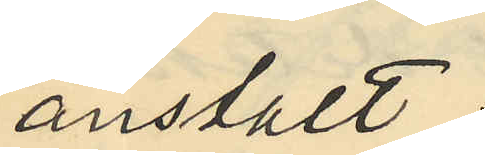anstalt;
